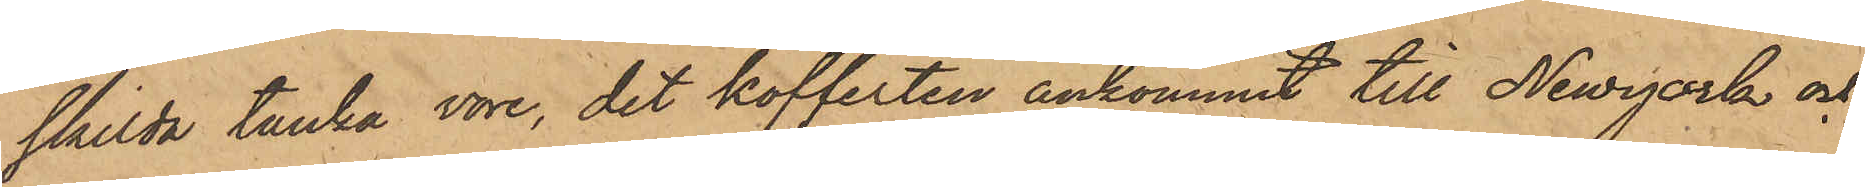skilda tanke vore, det kofferten ankommit till Newyork och
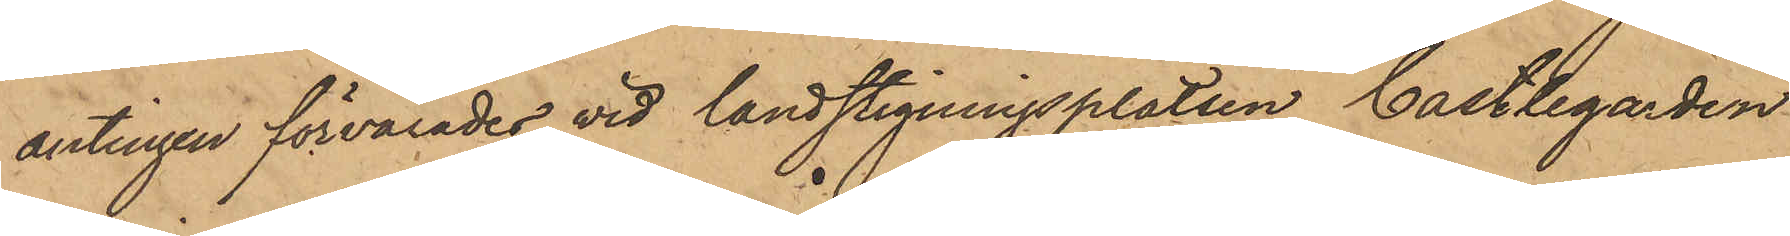antingen förvarades vid landstigningsplatsen Castlegarden
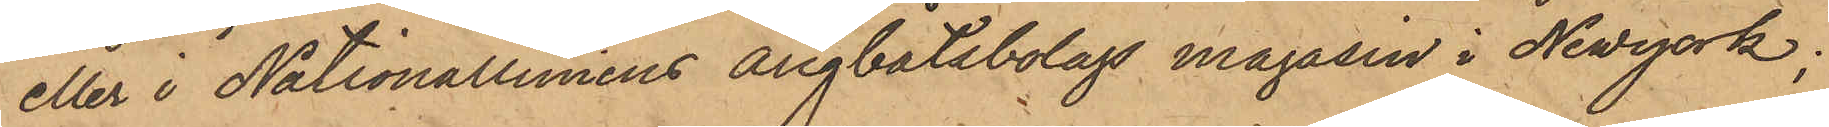eller i Nationalliniens Ångbåtsbolags magasin i Newyork;
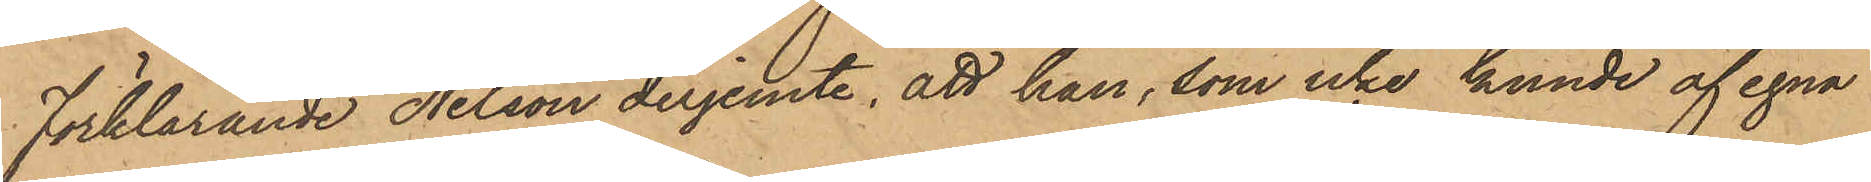Förklarande Nelson derjemte, att han, som icke kunde af egna
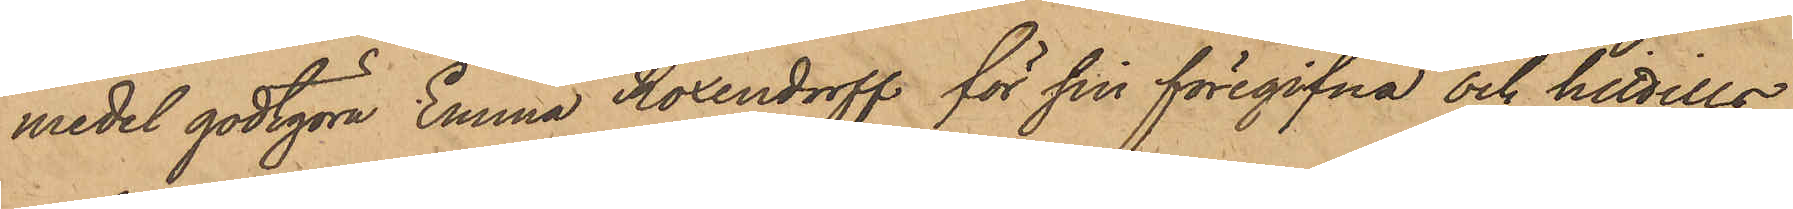medel godtgöra Emma Rosendorff för sin föregifna och hittills
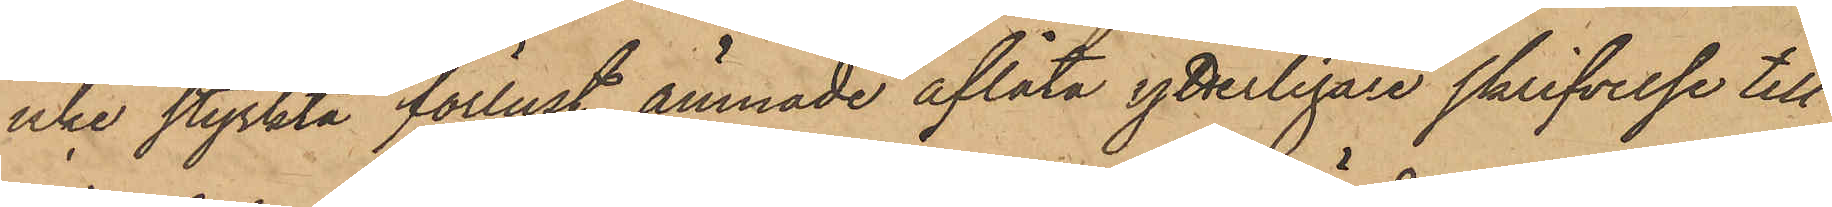icke styrkta förlust, ämnade aflåta ytterligare skrifvelse till
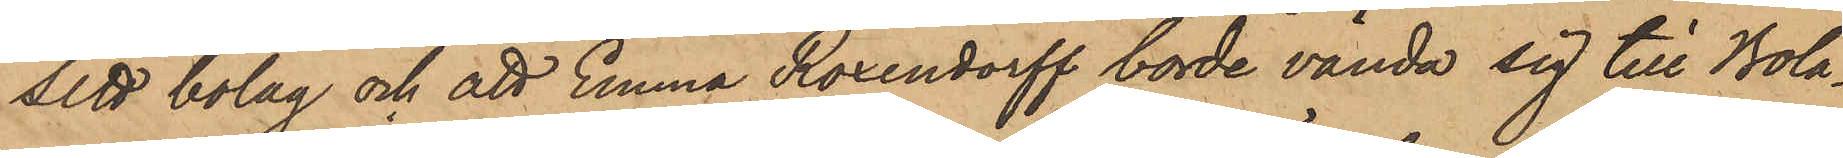sitt bolag och att Emma Roxendorff borde vända sig till Bola¬
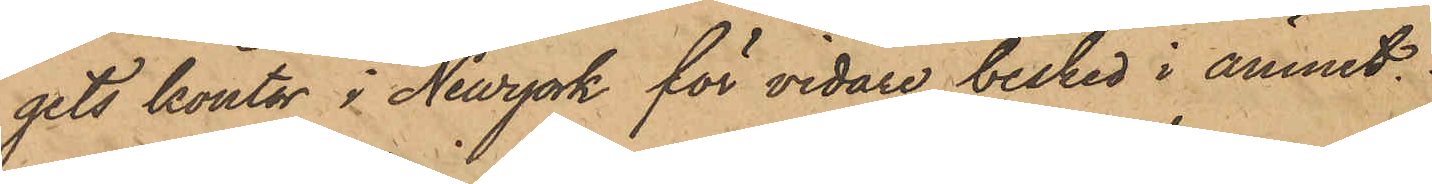gits kontor i Newyork för vidare besked i ämnet.
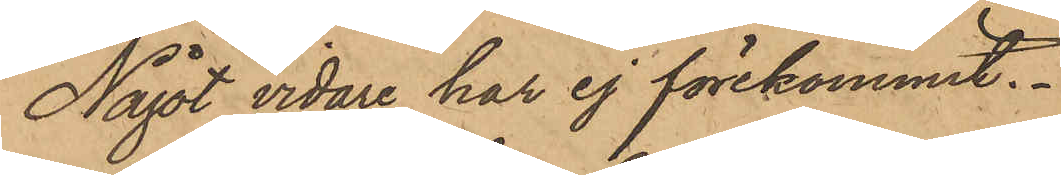Något vidare har ej förekommit.
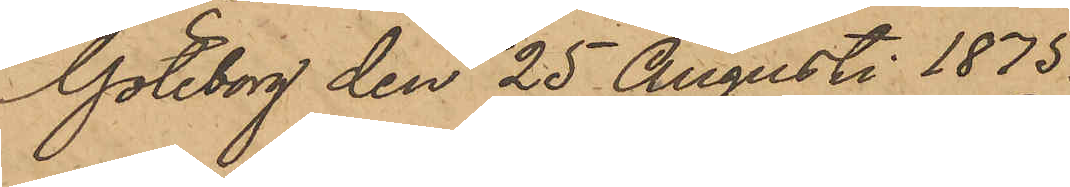Göteborg den 25 Augusti 1875.
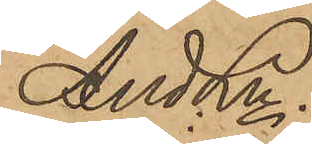And Ln.
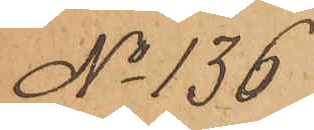No 136
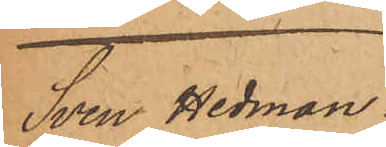Sven Hedman.
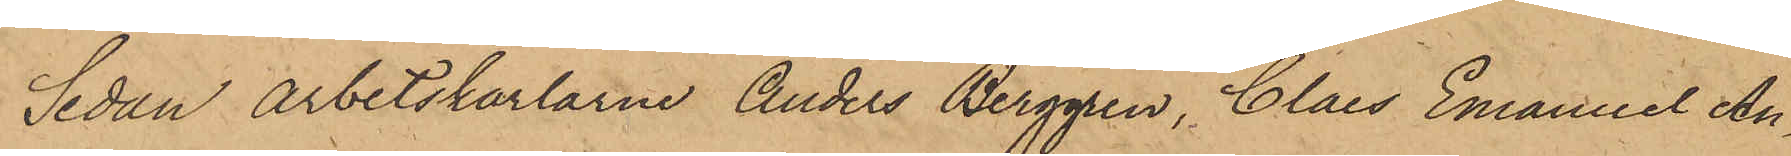Sedan Arbetskarlarne Anders Berggren, Claes Emanuel An¬
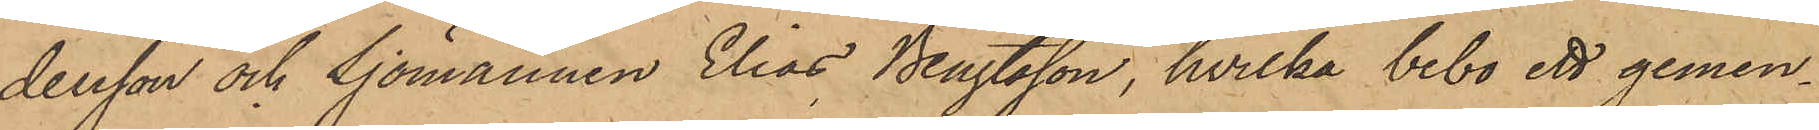dersson och Sjömannen Elias Bengtsson, hvilka bebo ett gemen¬
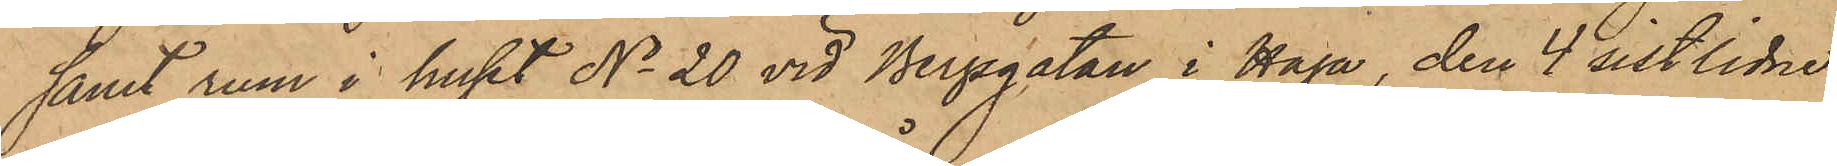samt rum i huset No 20 vid Bergsgatan i Haga, den 4 sistlidne
